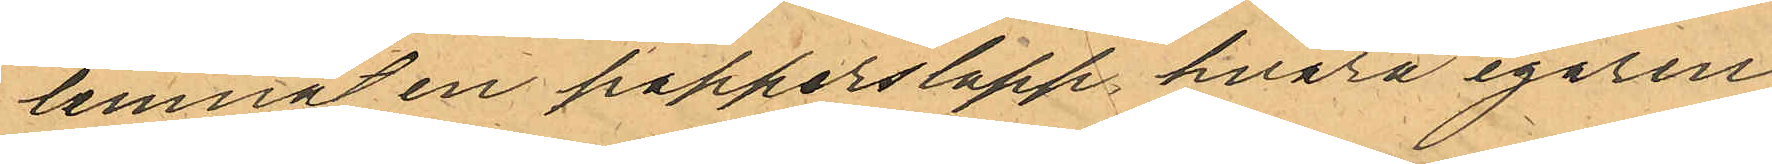lemnat en papperslapp hvarå egaren
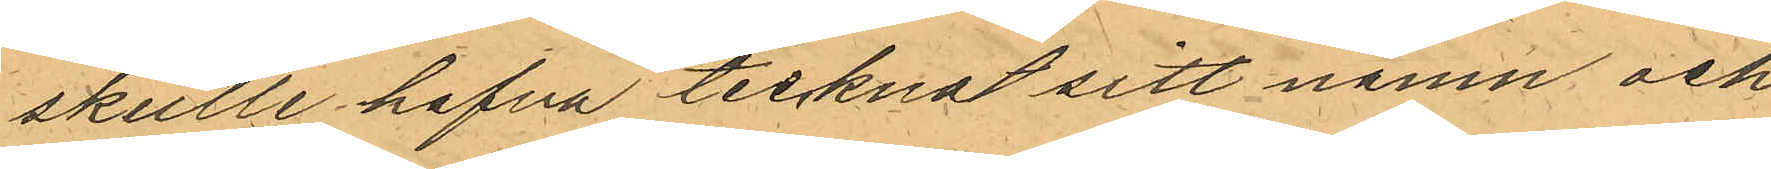skulle hafva tecknat sitt namn och
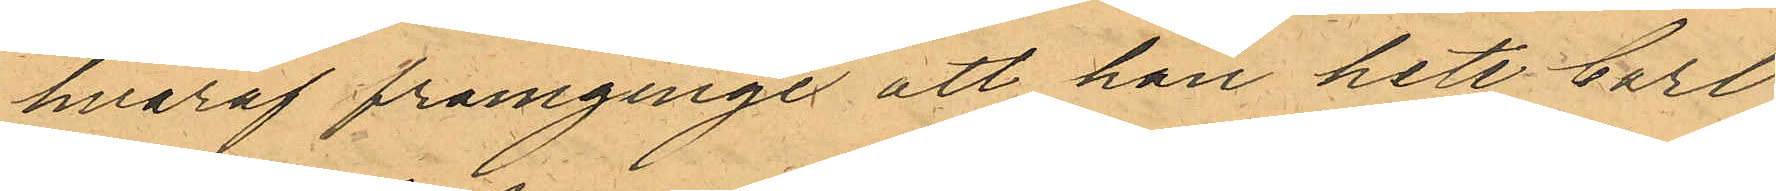hvaraf framginge att han heter Carl
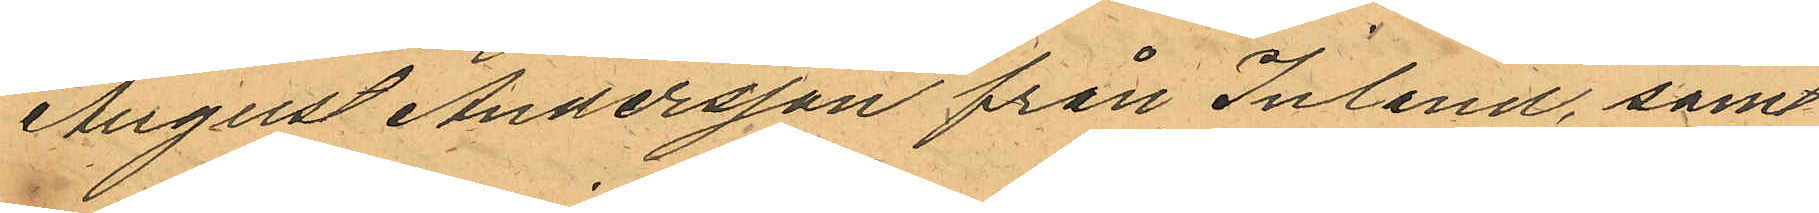August Andersson från Inland, samt
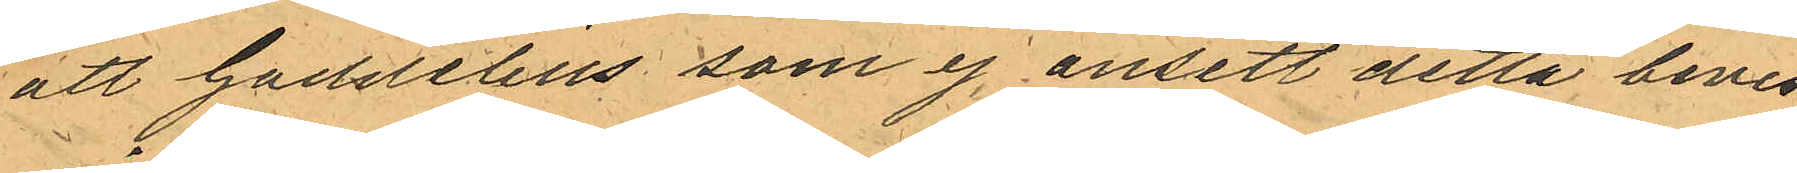att Gaddelius som ej ansett detta bevis
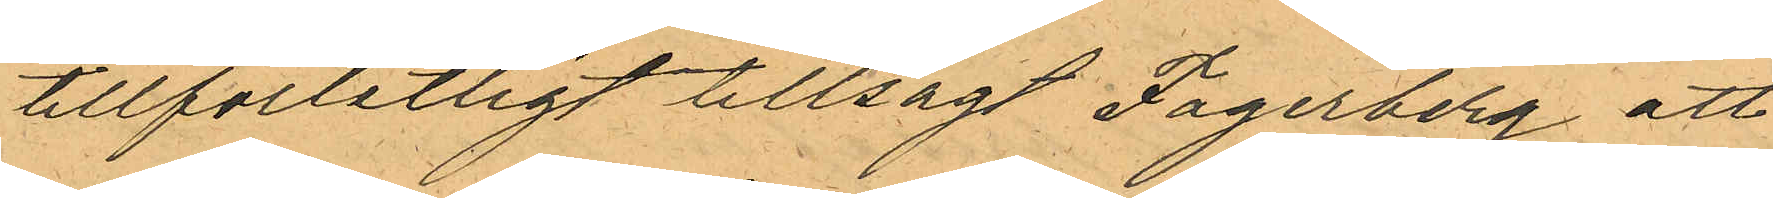tillförlitligt tillsagt Fagerberg att
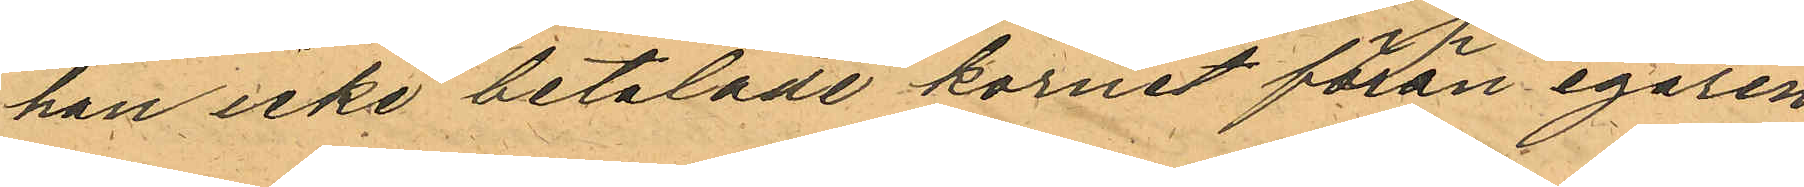han icke betalade kornet förän egaren
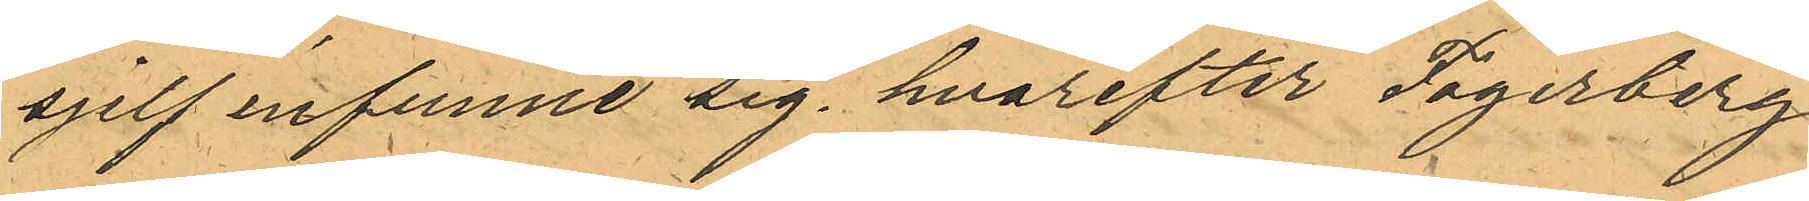sjelf infunne sig, hvarefter Fagerberg
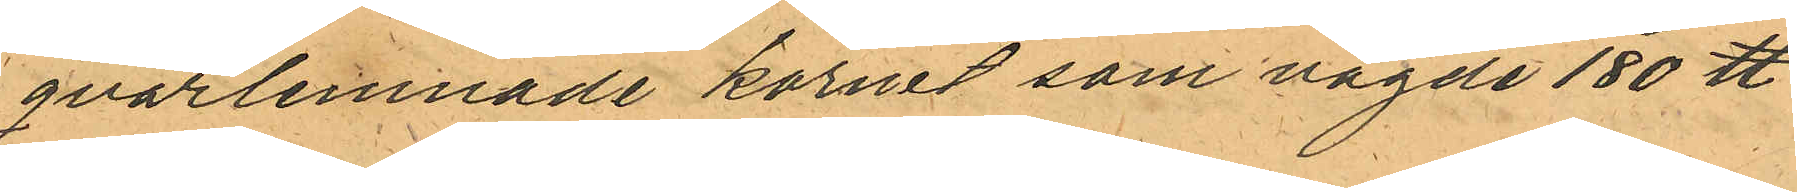qvarlemnade kornet som vagde 180 ℔
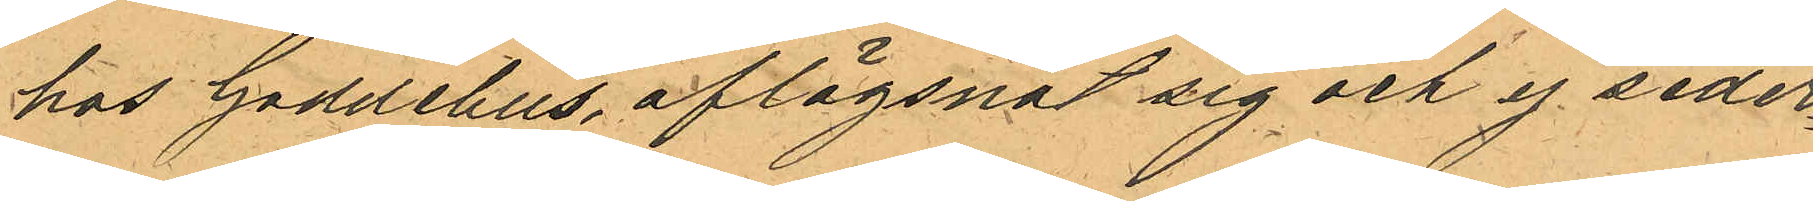hos Gaddelius, aflägsnat sig och ej seder¬
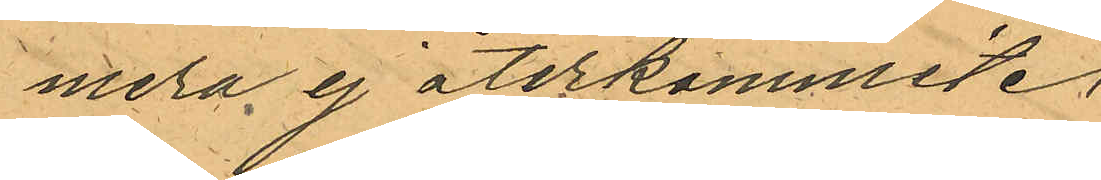mera ej återkommit.
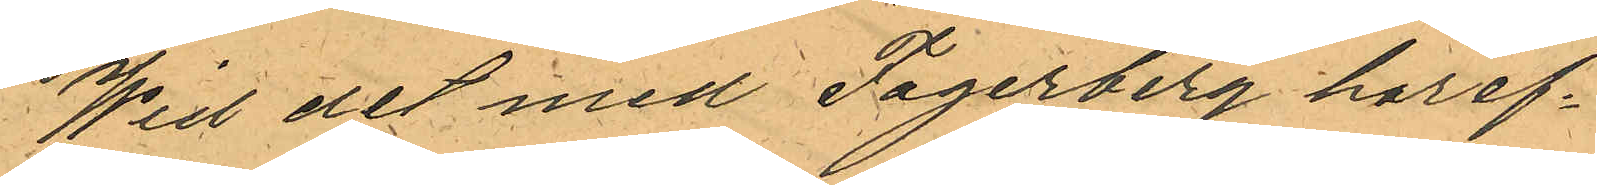Wid det med Fagerberg häref¬
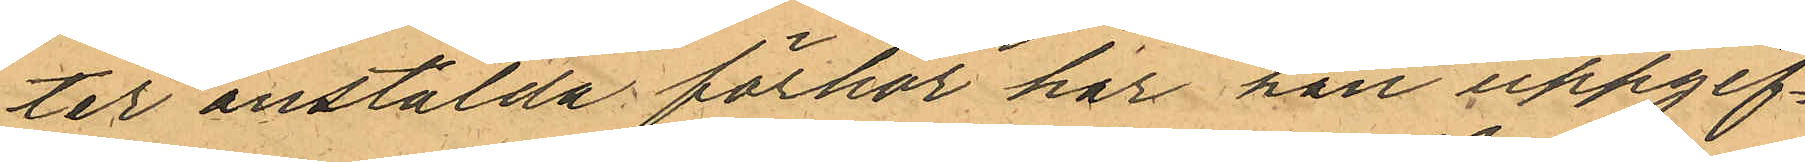ter anstälda förhör har han uppgif¬
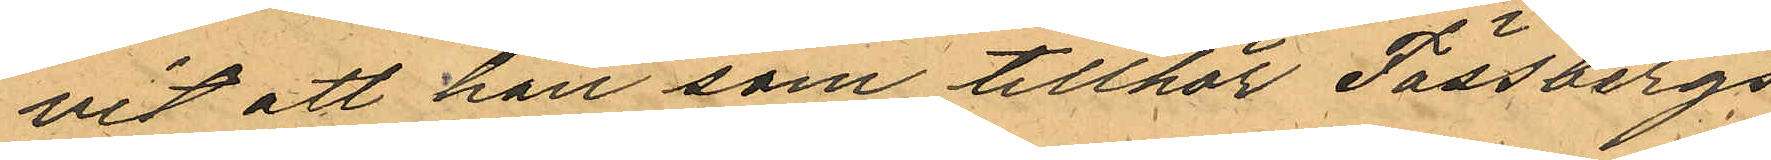vit att han som tillhör Fässbergs
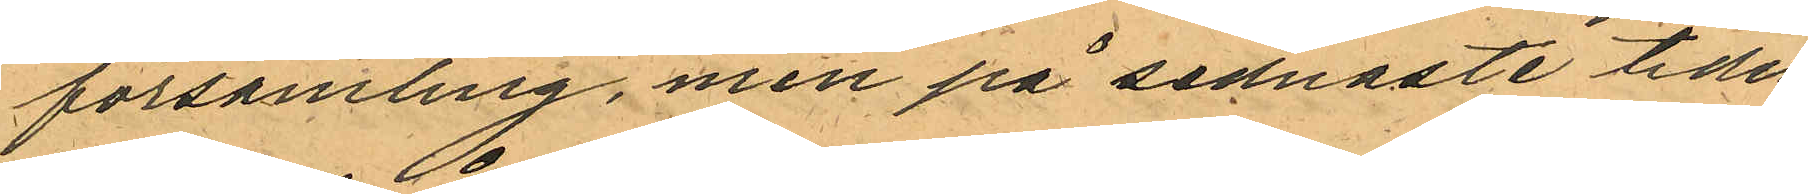församling, men på sednaste tiden
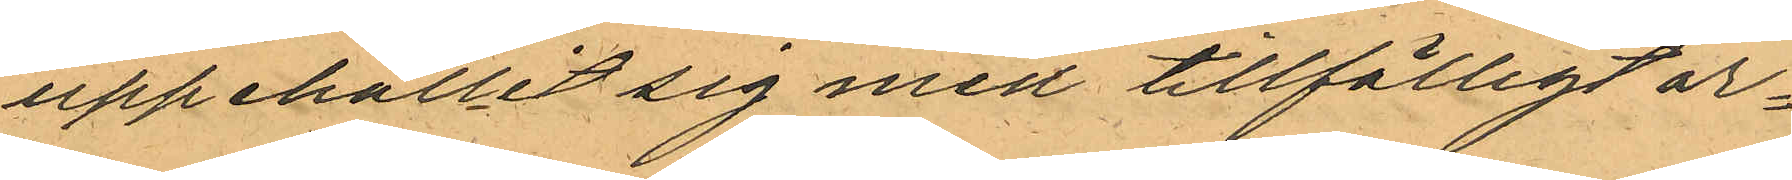uppehållit sig med tillfälligt ar¬
